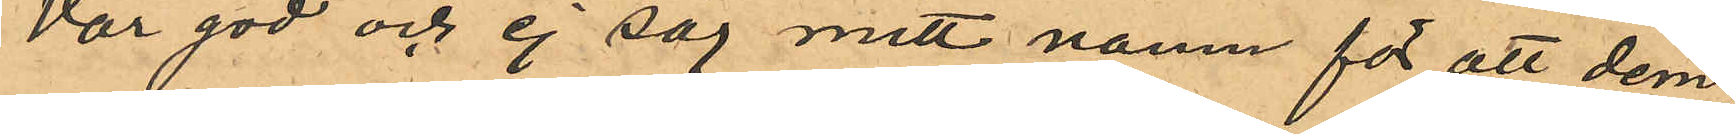Var god och ej säg mitt namn för att dem
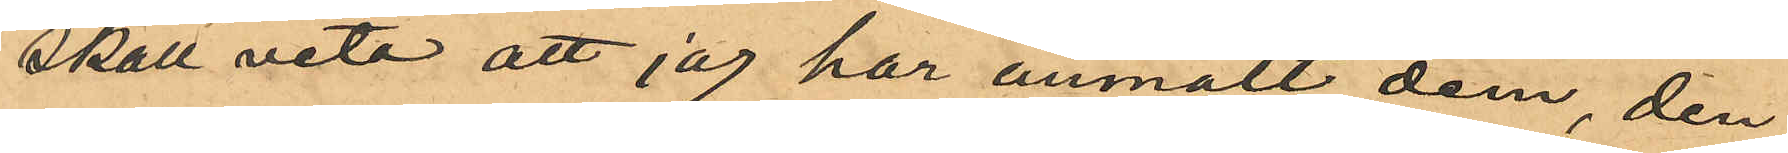skall veta att jag har anmält dem, den
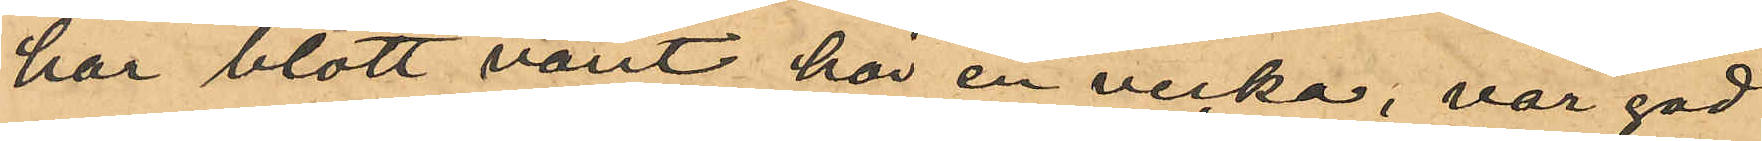har blott varit här en vecka, var god
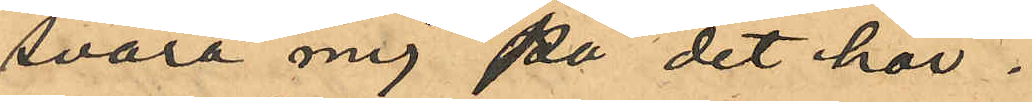svara mig på det här.
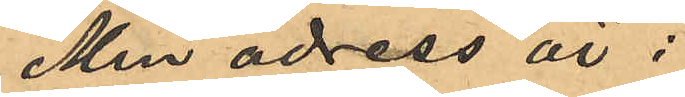Min adress är :
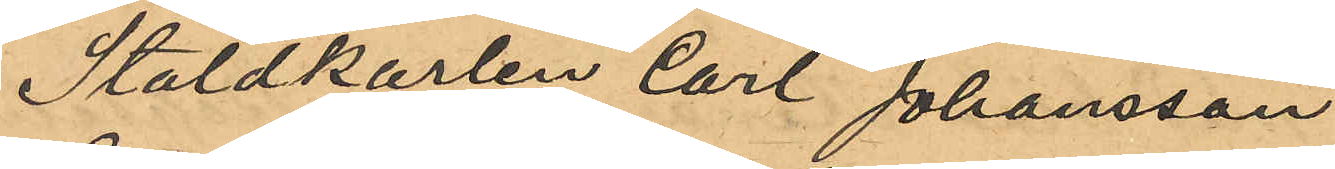Staldkarlen Carl Johansson
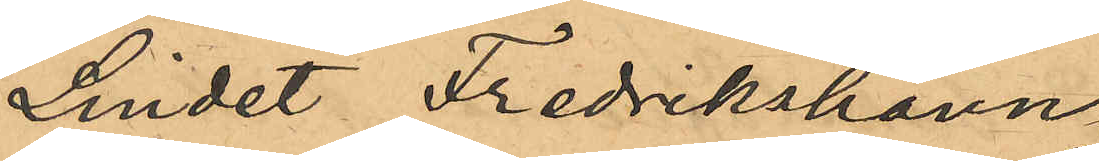Lindet Fredrikshamn
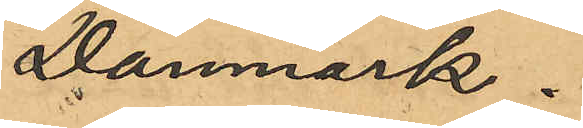Danmark.
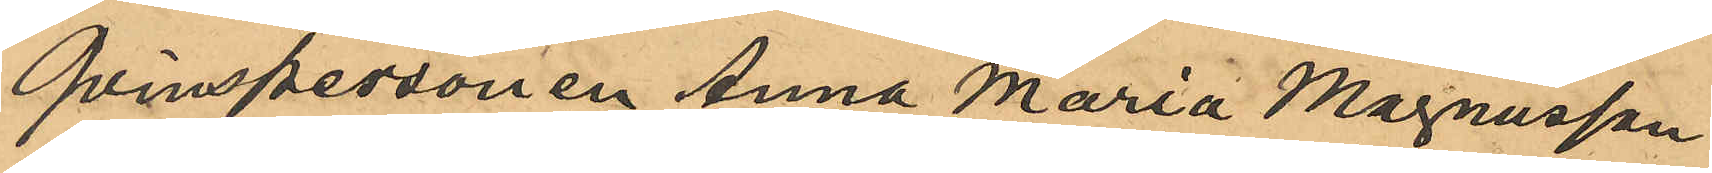Qvinspersonen Anna Maria Magnusson
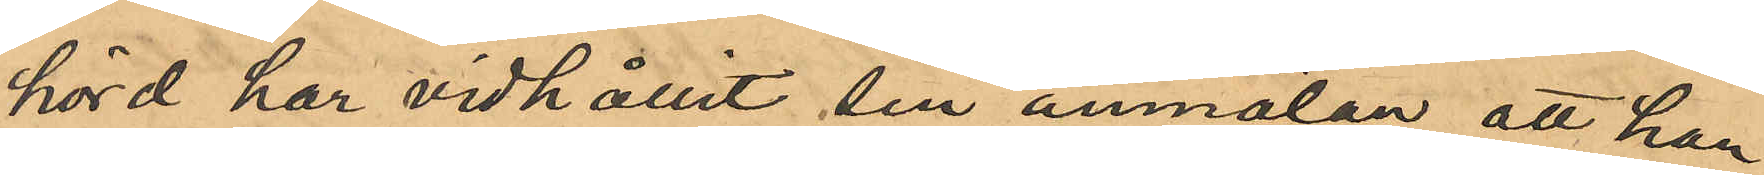hörd har vidhållit sin anmälan att hon
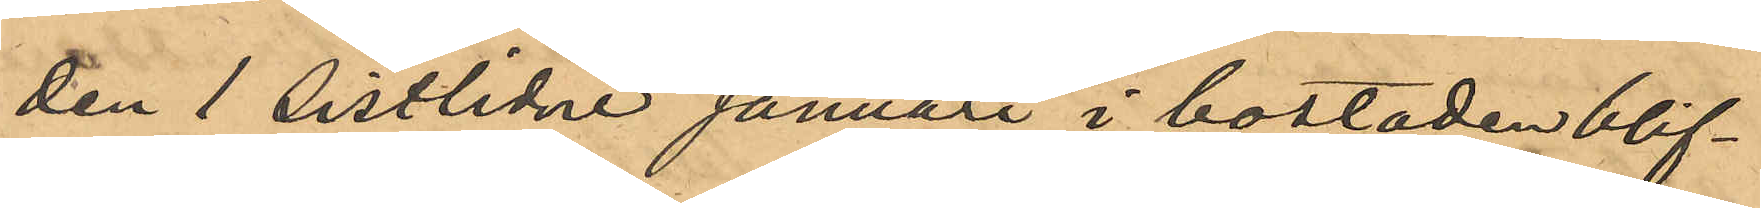den 1 sistlidne Januari i bostaden blif¬
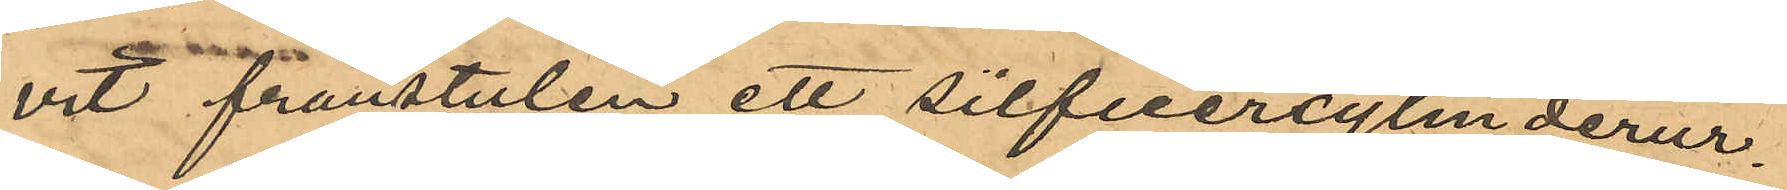vit frånstulen ett silfvercylinderur.
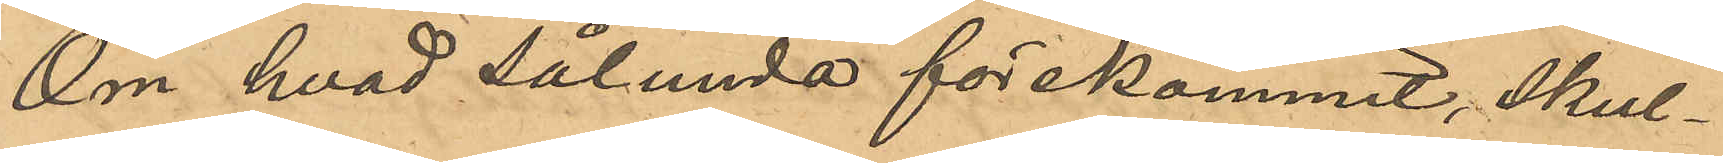Om hvad sålunda förekommit, skul¬
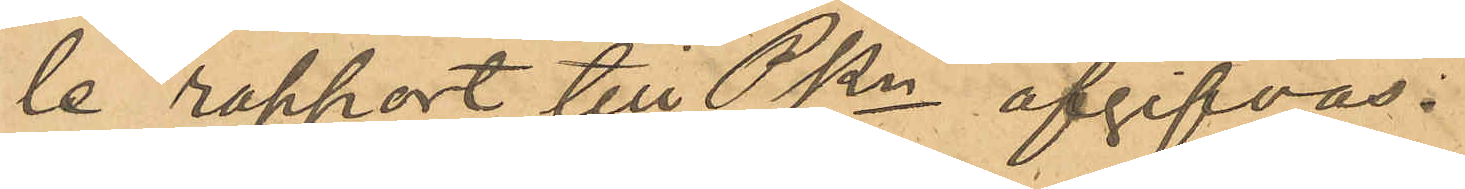le rapport till Pkn afgifvas.
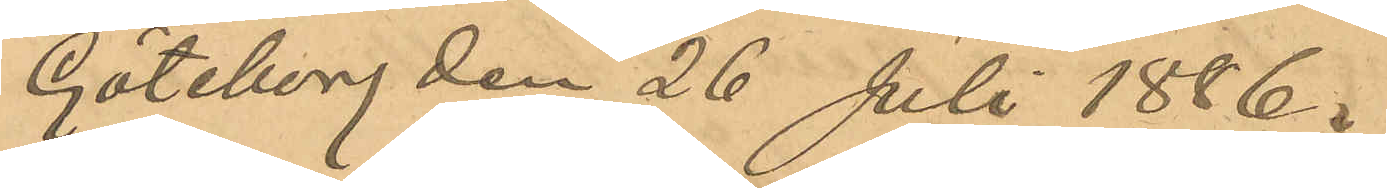Göteborg den 26 Juli 1886.
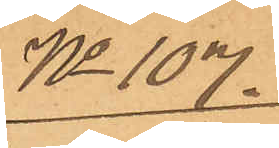No 107.
